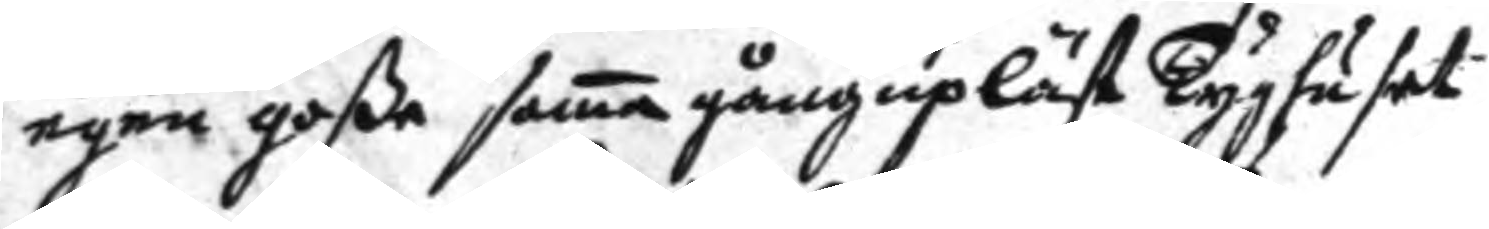egen goße sama gång uplåst Tyghuset
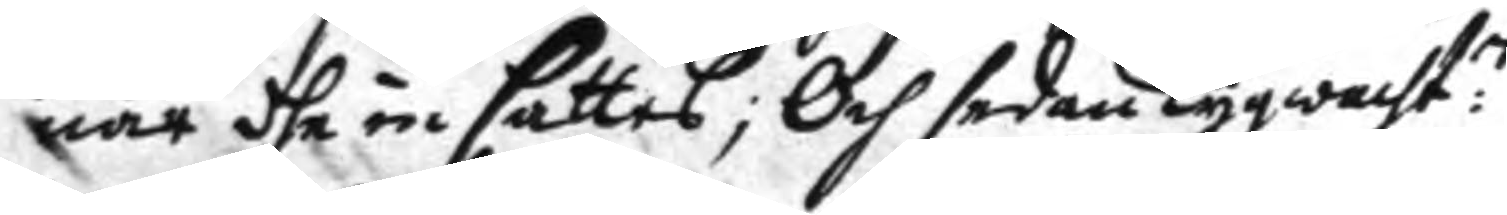när dhe in sattes; och sedan Tygwacht:n
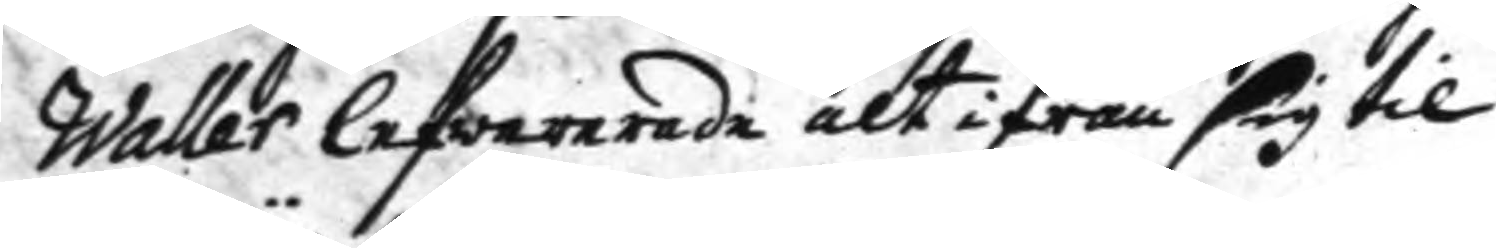Waller lefwererade alt ifrån sig til
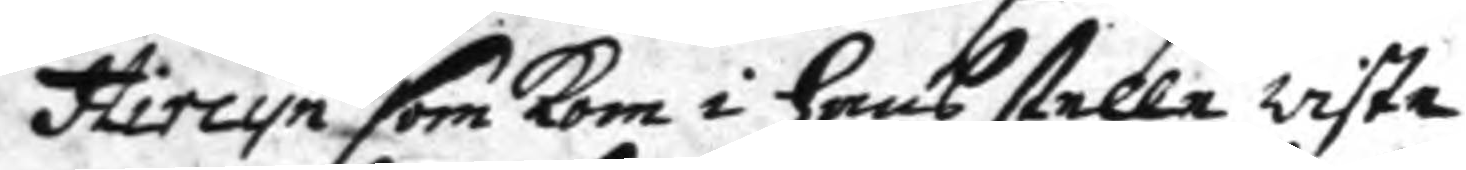Hircyn som kom i hans stelle wiste
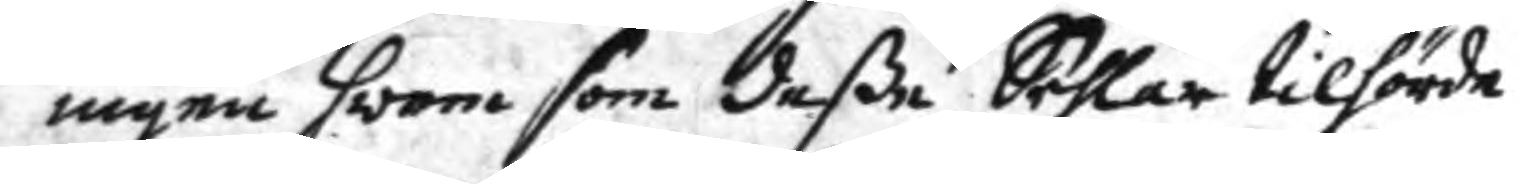ingen hwem som deße Sehlar tilhörde
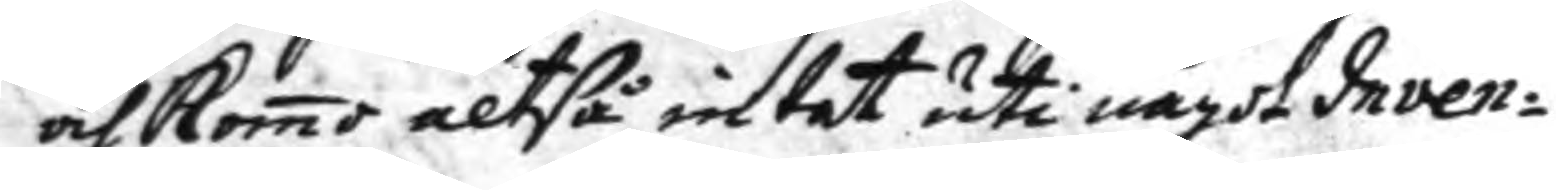och komo altså intet uti något Inven¬
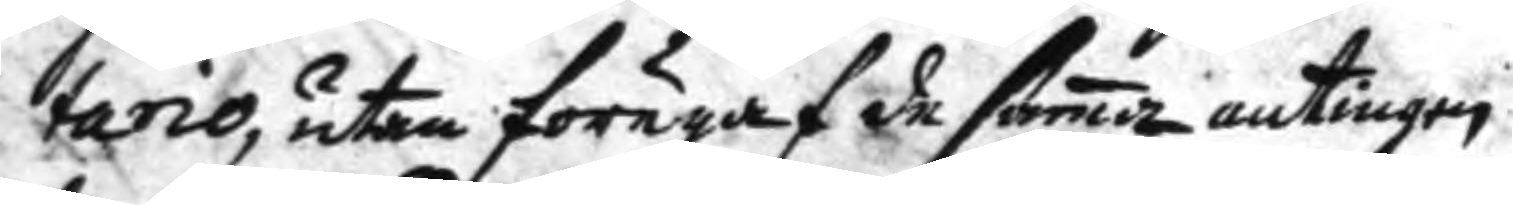tario, utan föregaf de sama antingen
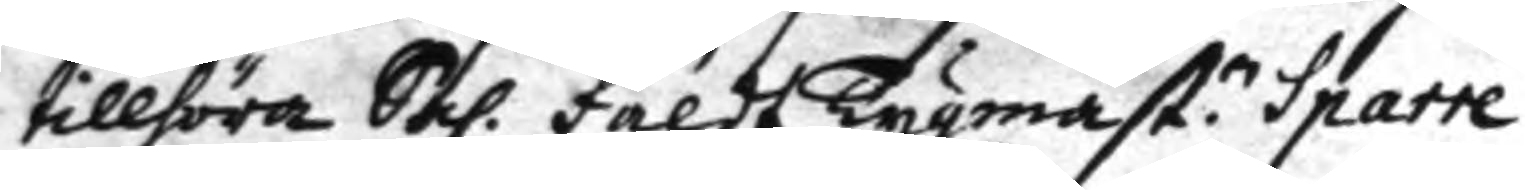tillhöra Sal: fäldt tygmäst:n Sparre
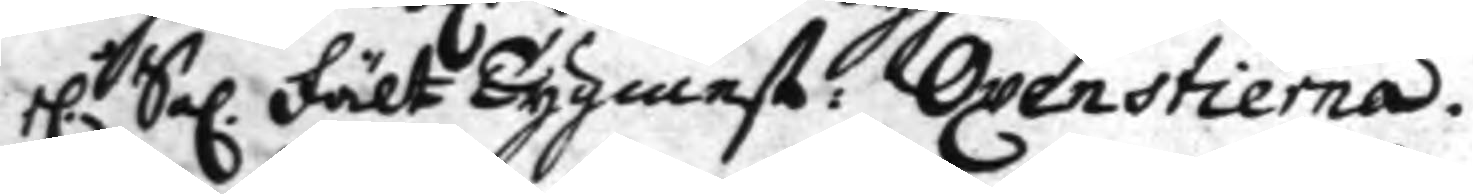h.r Sal. Fält Tygmest: Oxenstierna.
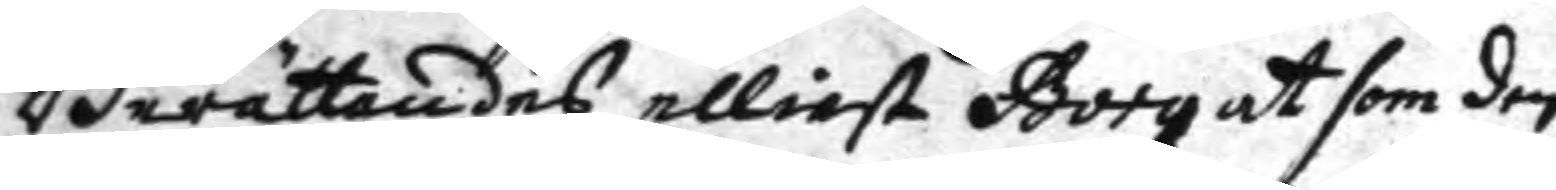Berättandes elliest Borg at som den
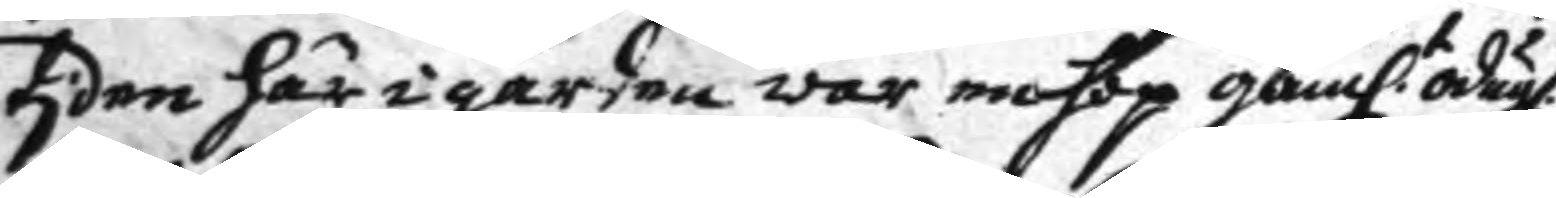tiden här i gården war mohop gaml:t odugl.
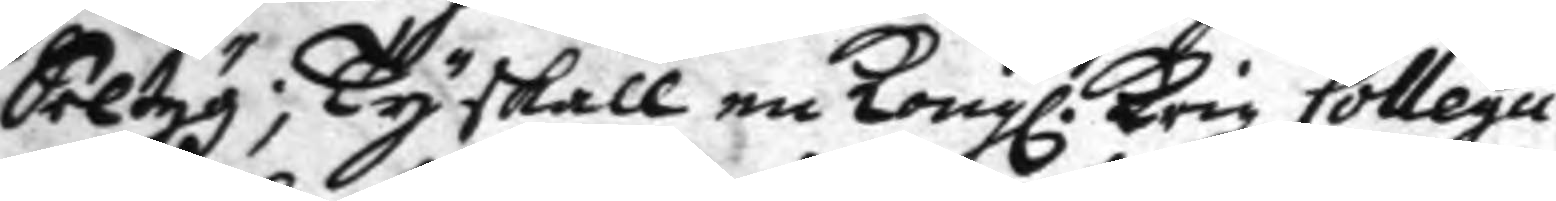Seltyg; Ty skall nu Kongl. Krigz Collegii
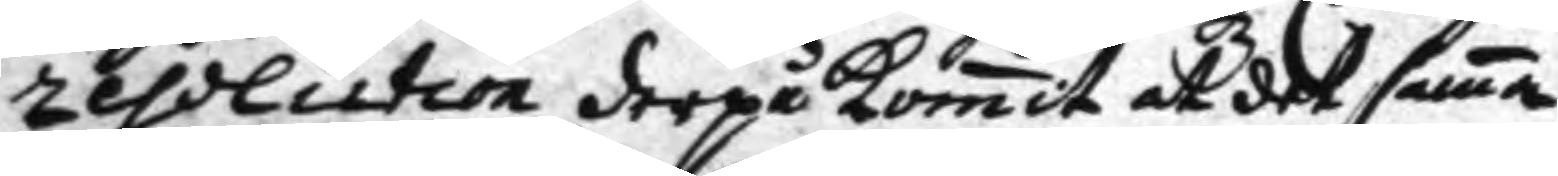resolution derpå komit at det sama
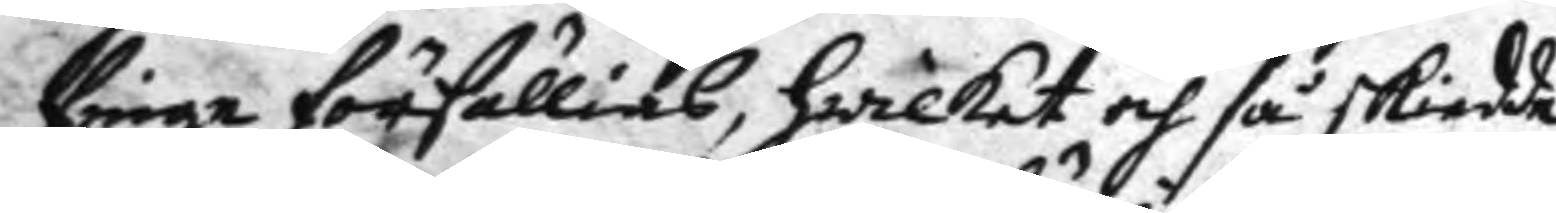fråga försällias, hwilket och så skiedde
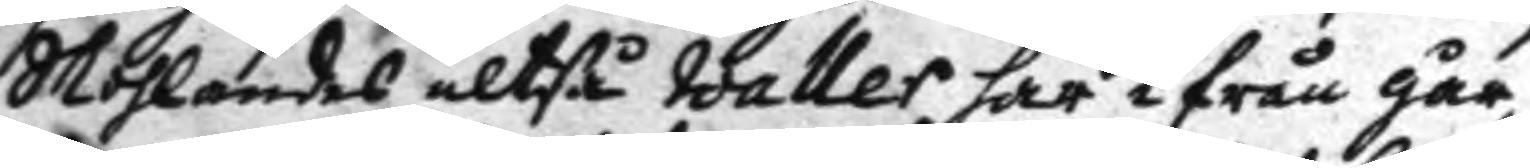Skolandes altså Waller här ifrån går¬
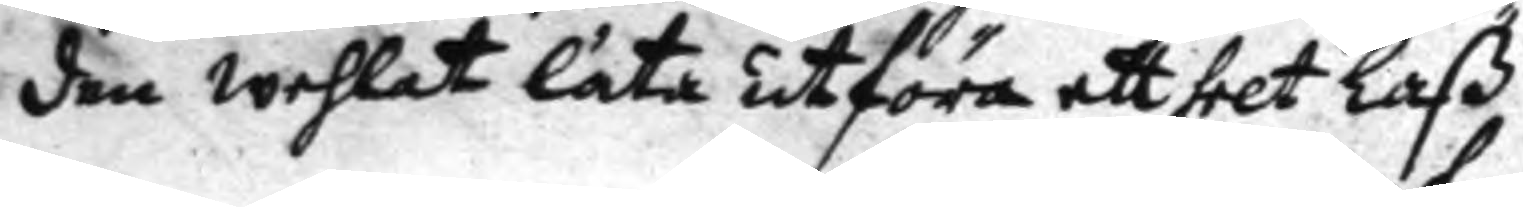den wehlat låta utföra ett helt Laß
